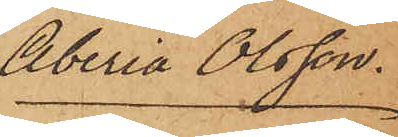Aberia Olsson.
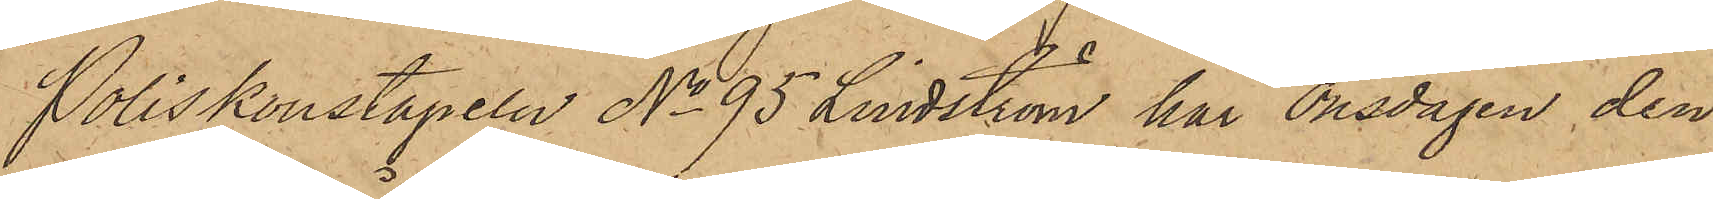Poliskonstapeln No 95 Lindström, har Onsdagen den
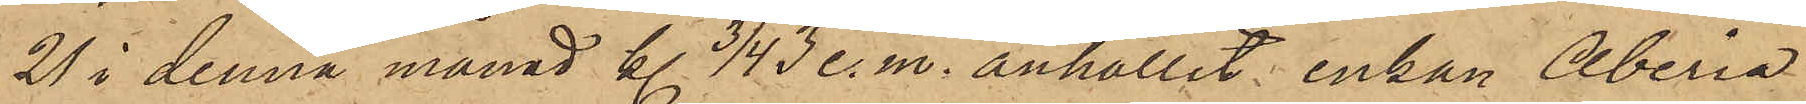21 i denna månad kl. 3/4  3 e.m. anhållit enkan Aberia
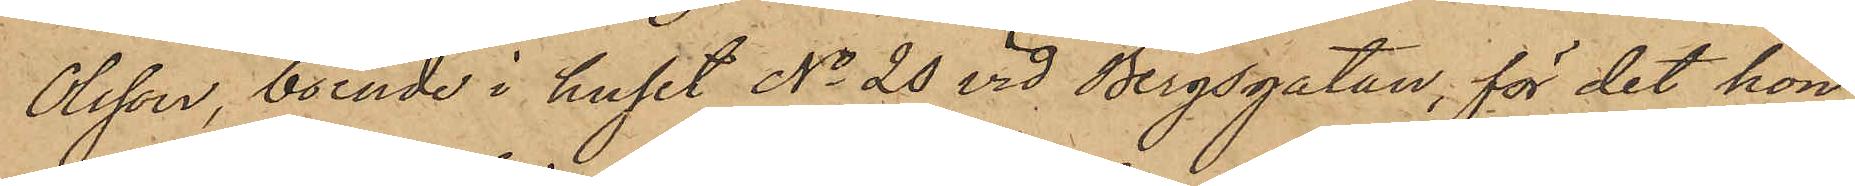Olsson, boende i huset No 20 vid Bergsgatan, för det hon
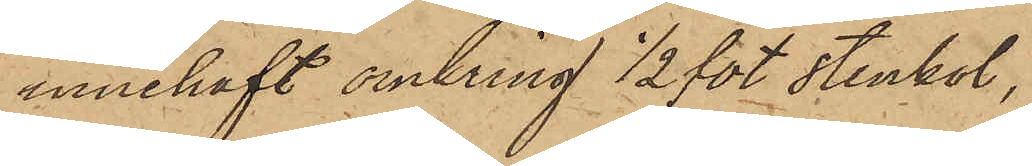innehaft omkring 1/2 fot stenkol,
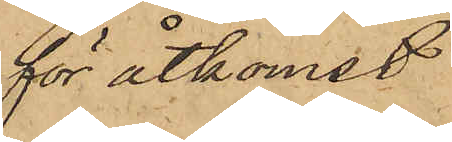för åtkomst
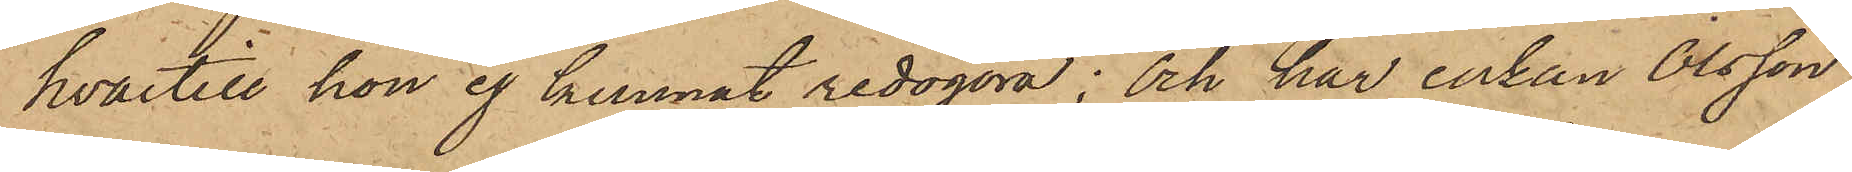hvartill hon ej kunnat redogöra; och har enkan Olsson
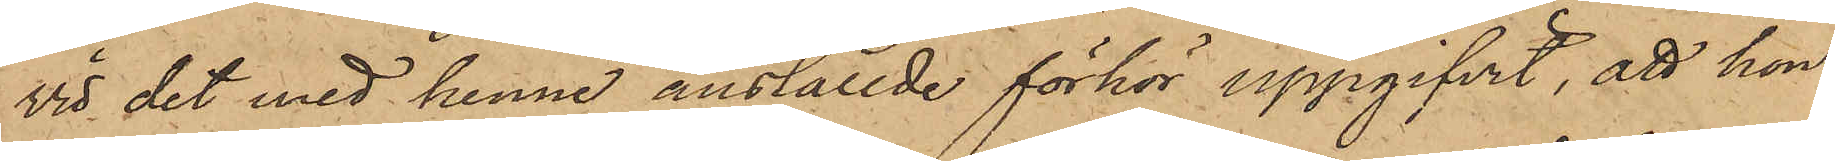vid det med henne anställde förhör uppgifvit, att hon
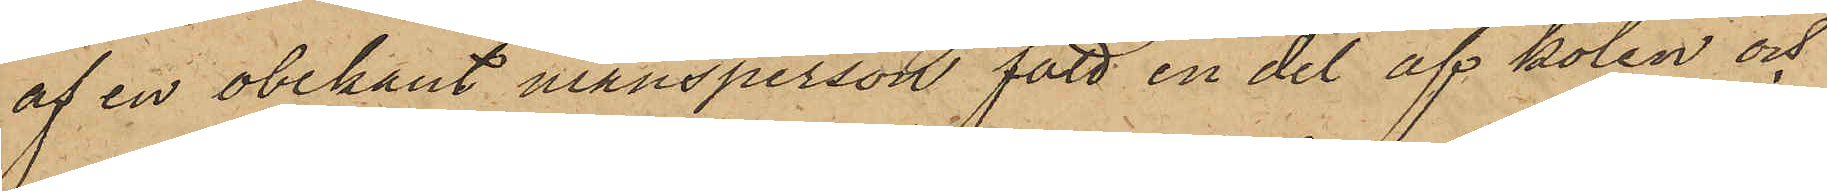af en obekant mansperson fått en del af kolen och
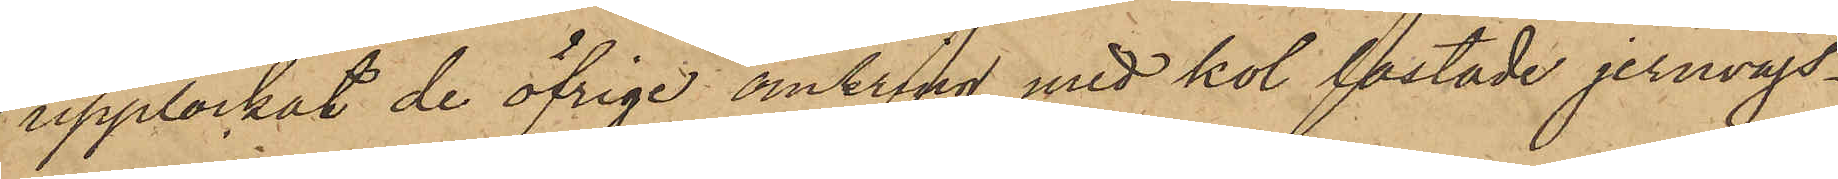upplockat de öfrige omkring med kol lastade jernvägs¬
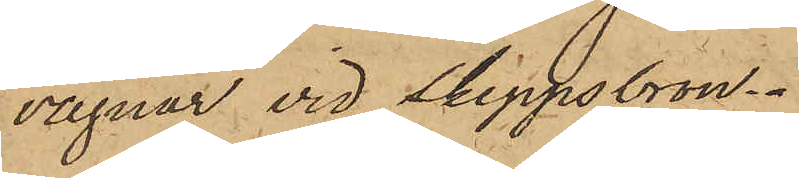vagnar vid Skeppsbron.
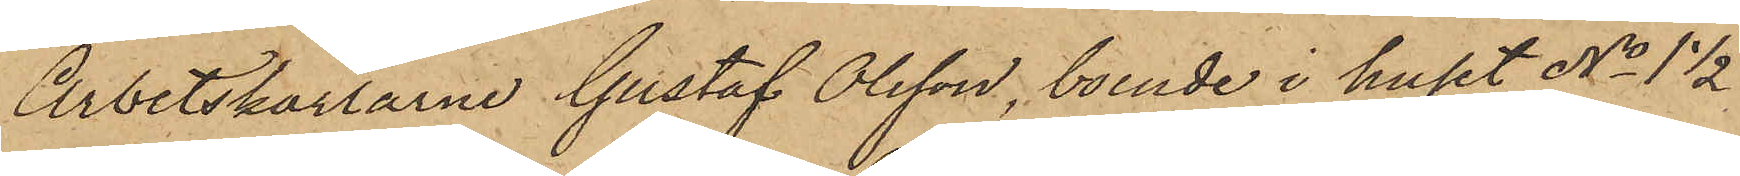Arbetskarlarne Gustaf Olsson, boende i huset No 1 1/2
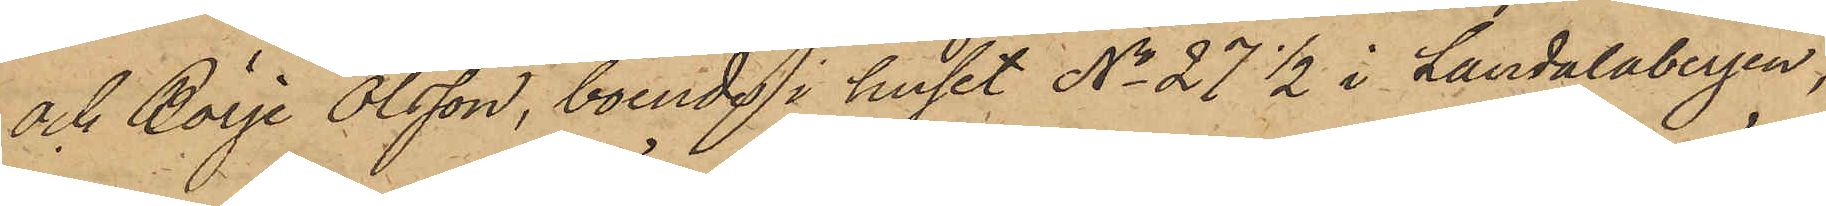och Börje Olsson, boende i huset No 27 1/2 i Landalabergen,
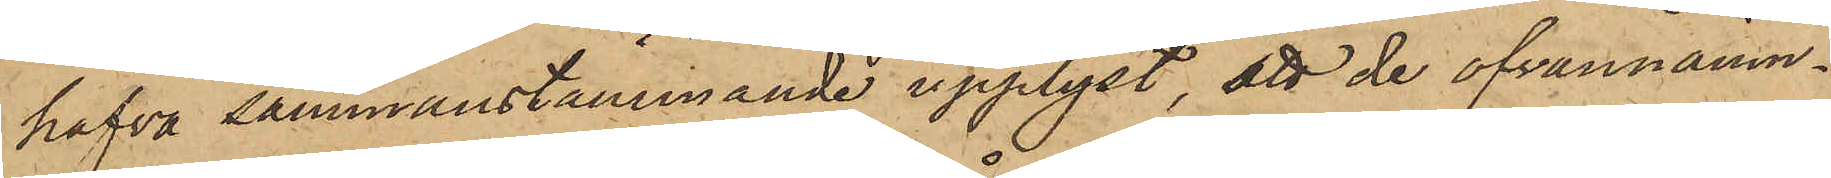hafva sammanstämmande upplyst, att de ofvannämn¬
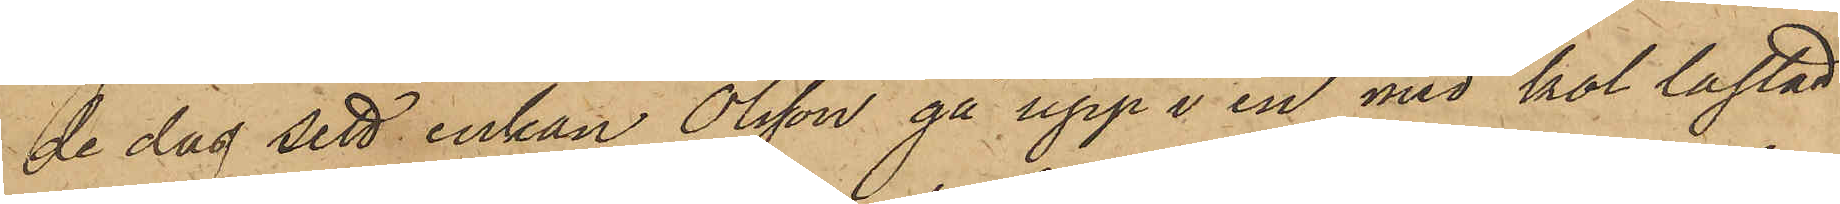de dag sett enkan Olsson gå upp i en med kol lastad
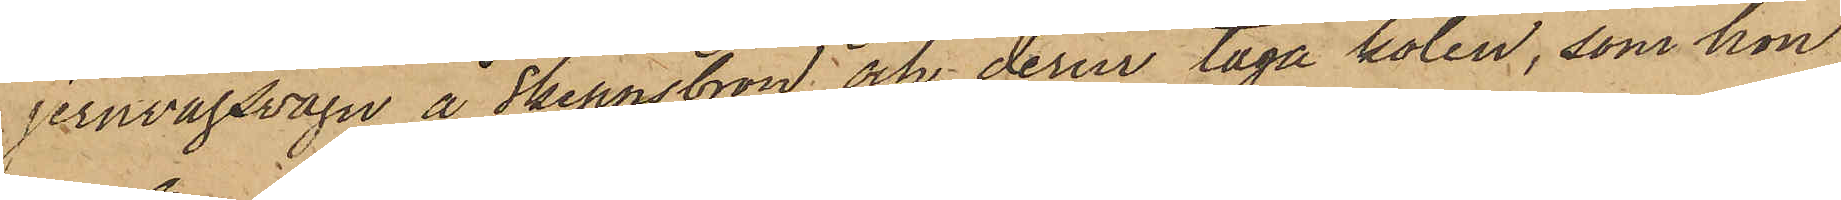jernvägsvagn å Skeppsbron och derur taga kolen, som hon
